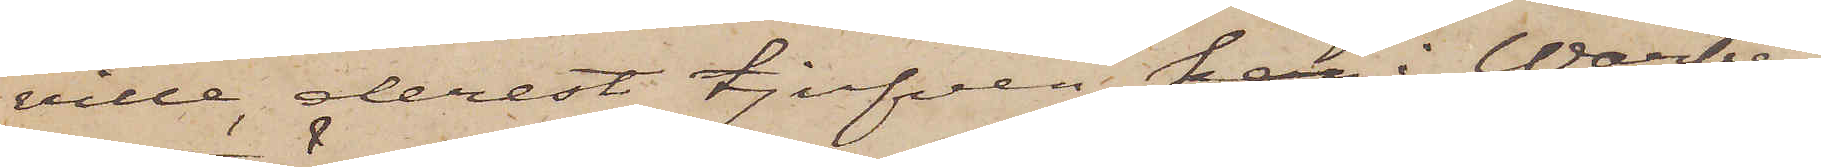ville, derest tjufven kan i Warberg
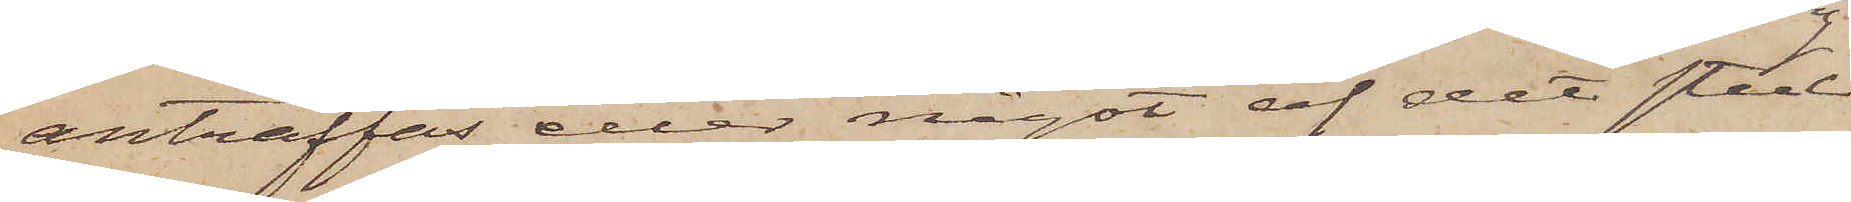anträffas eller något af det stul¬
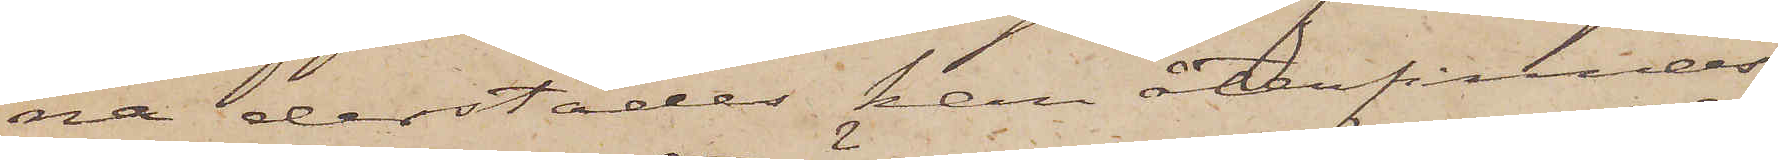na derstädes kan återfinnas,
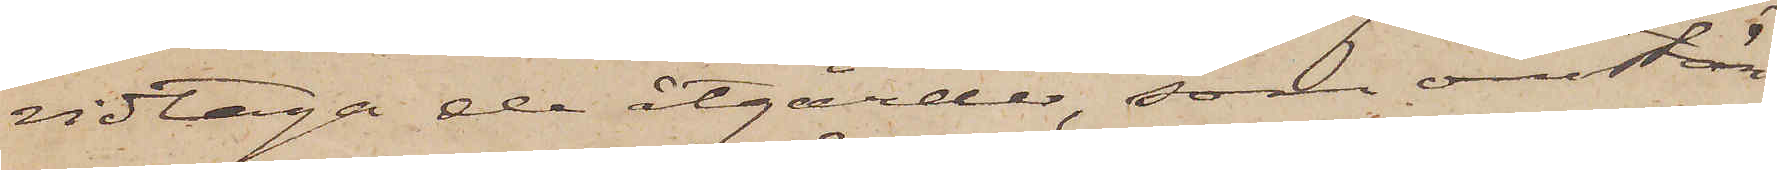vidtaga de åtgärder, som omstän¬
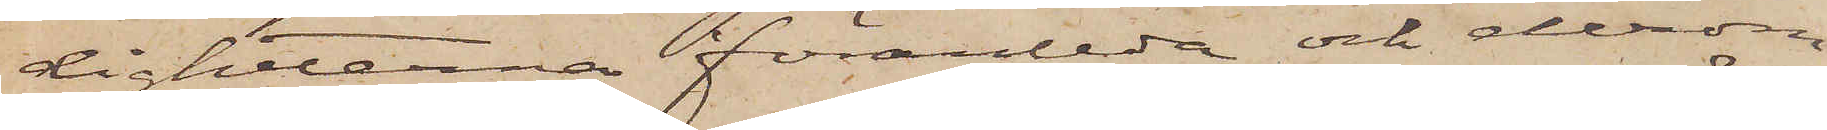digheterna föranleda och derom
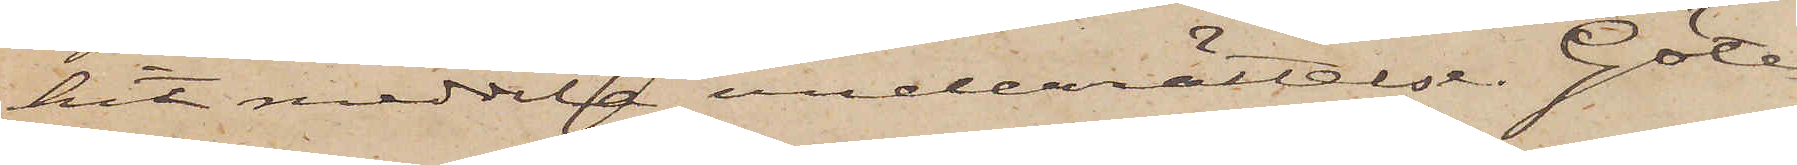hit meddela underrättelse. Göte¬
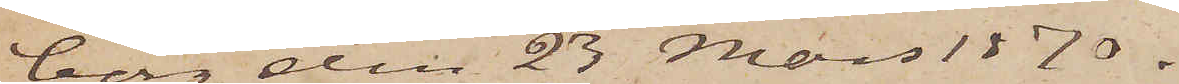borg den 23 Mars 1870.
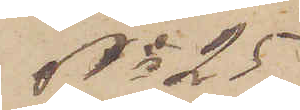No 25
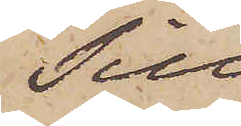Till
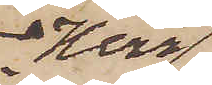Herr
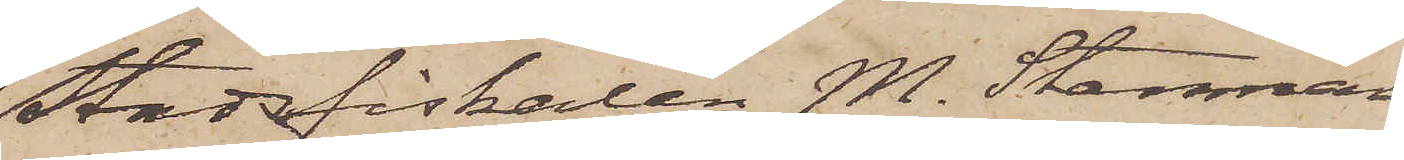Stadsfiskalen M. Stenman
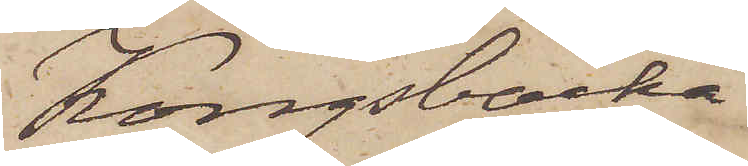Kongsbacka.
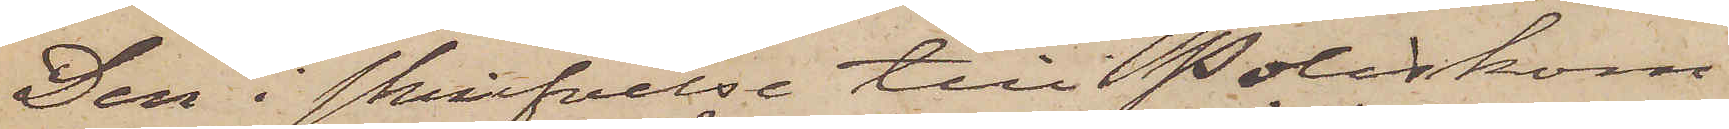Den i skrifvelse till Poliskom¬
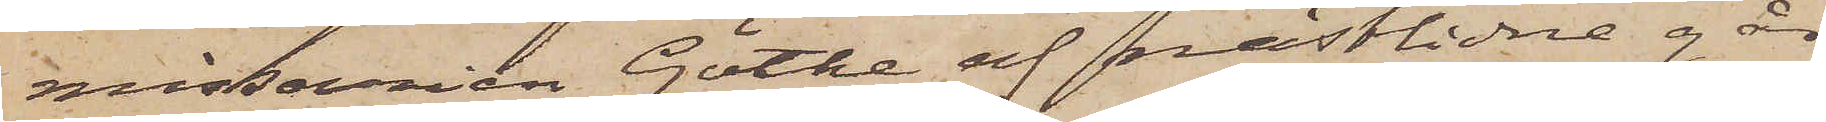missarien Göthe af nästlidne går¬
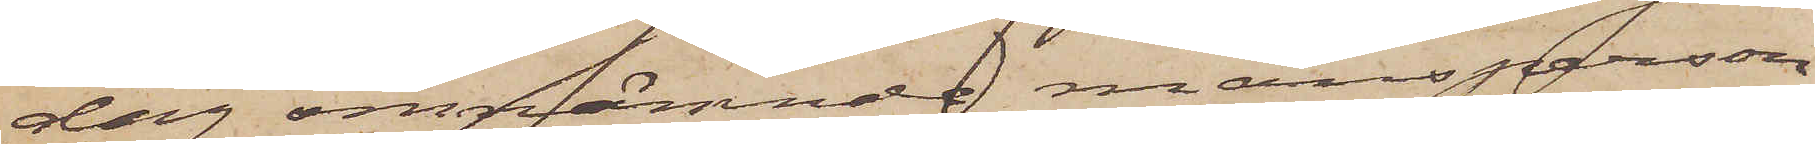dag omnämnde mansperson
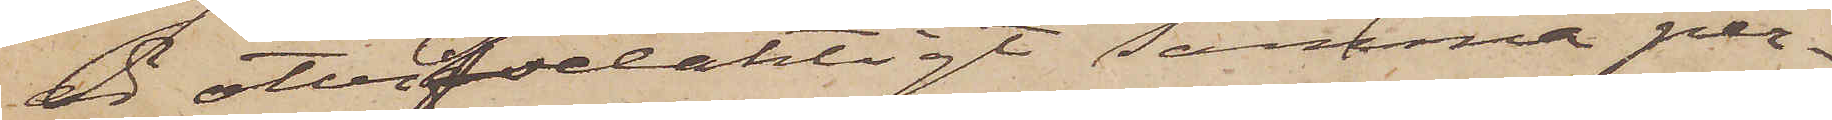är otvivelaktigt samma per¬
